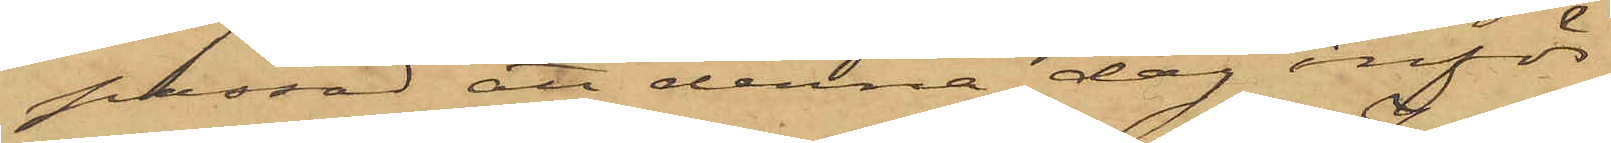passad att denna dag inför
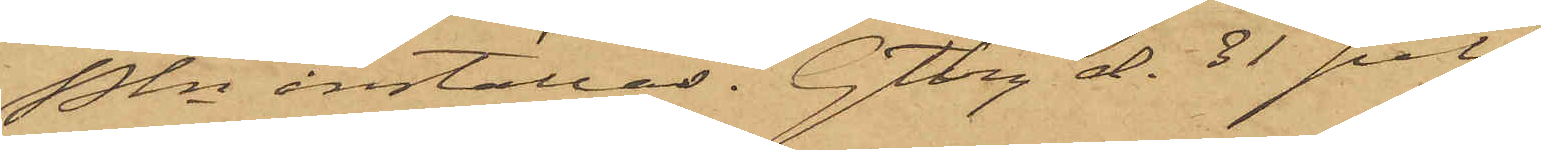Pkn inställas. Gtbg d. 31 juli
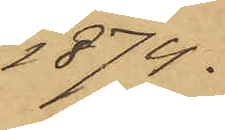1874.
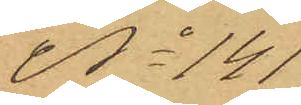No 141
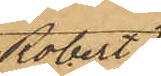Robert
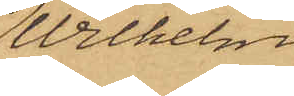Wilhelm
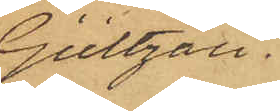Gültzau
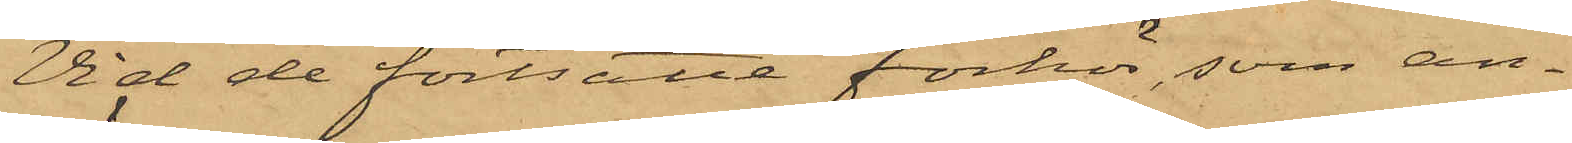Vid de fortsatte förhör, som an¬
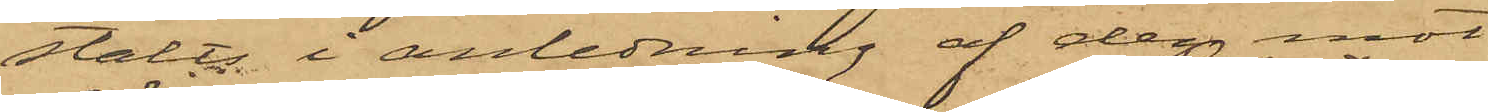stälts i anledning af den mot
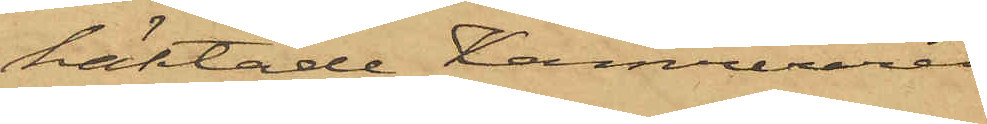häktade Kamreraren
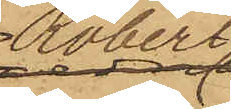Robert
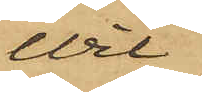Wil¬
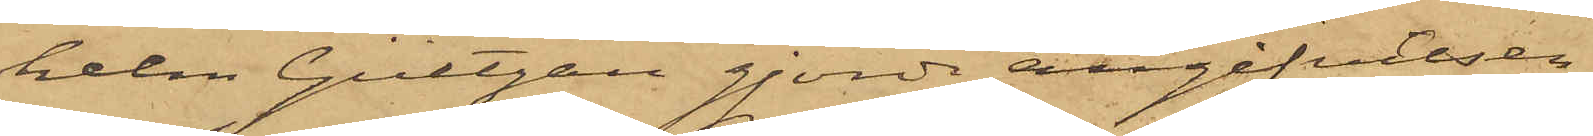helm Gültzau gjorde angifvelsen
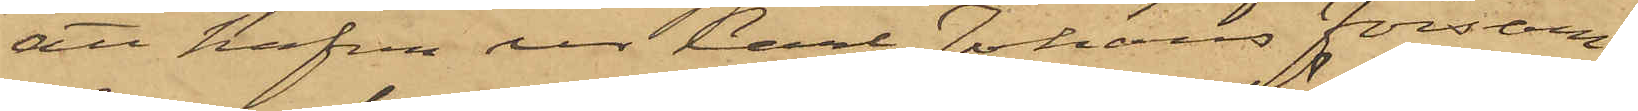att hafva ur Carl Johans Försam¬
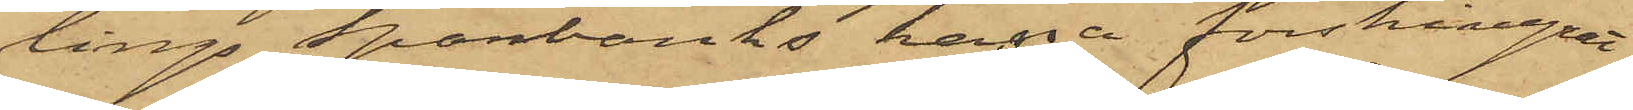lings Sparbanks kassa förskingrat
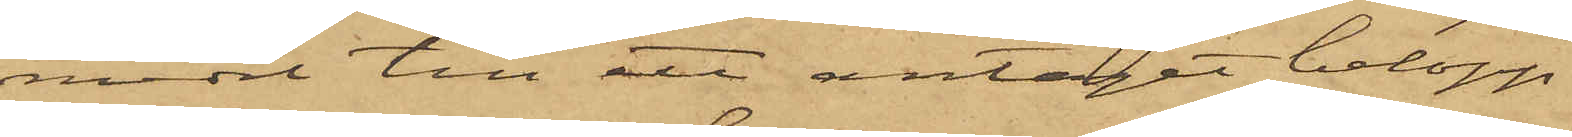medel till ett antaget belopp
